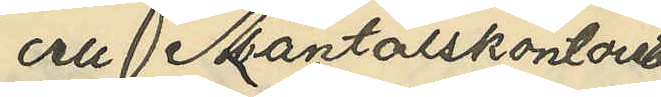och Mantalskontoret
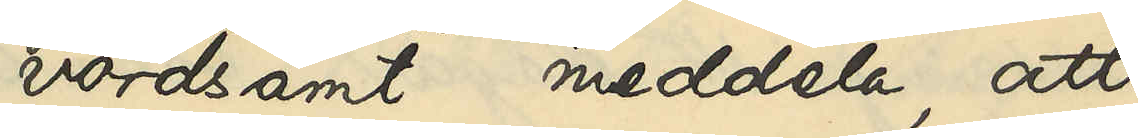vördsamt meddela, att
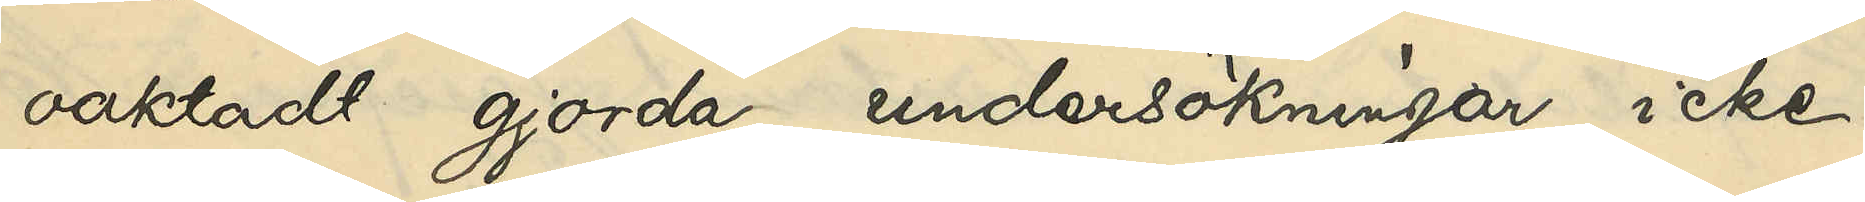oaktadt gjorda undersökningar icke
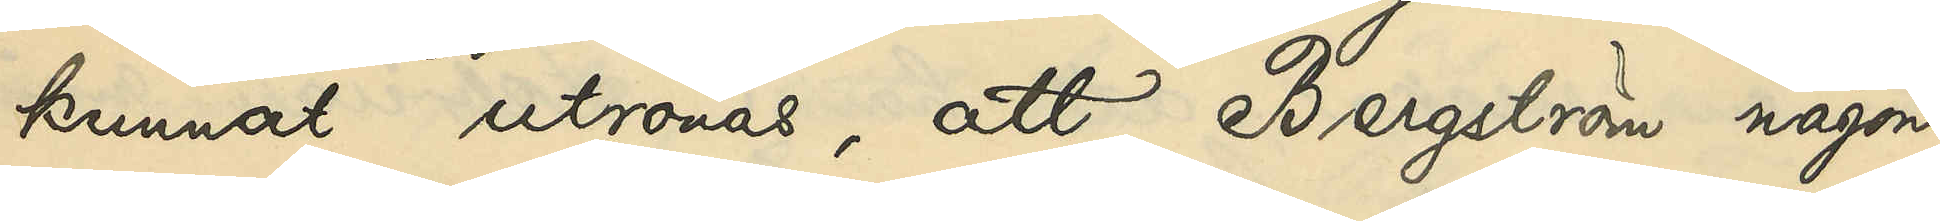kunnat utrönas, att Bergström någon¬
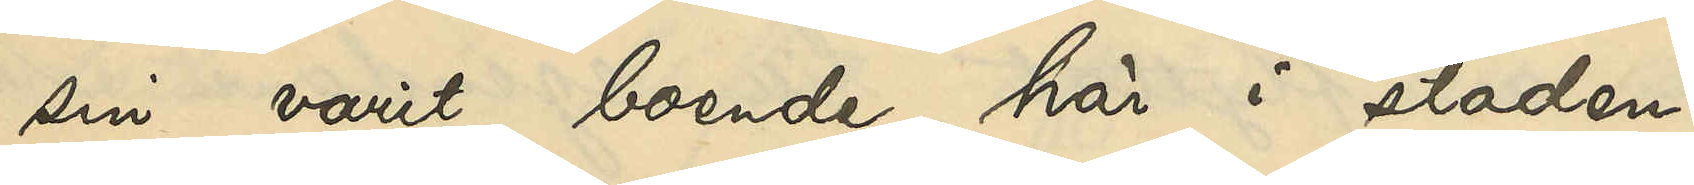sin varit boende här i staden.
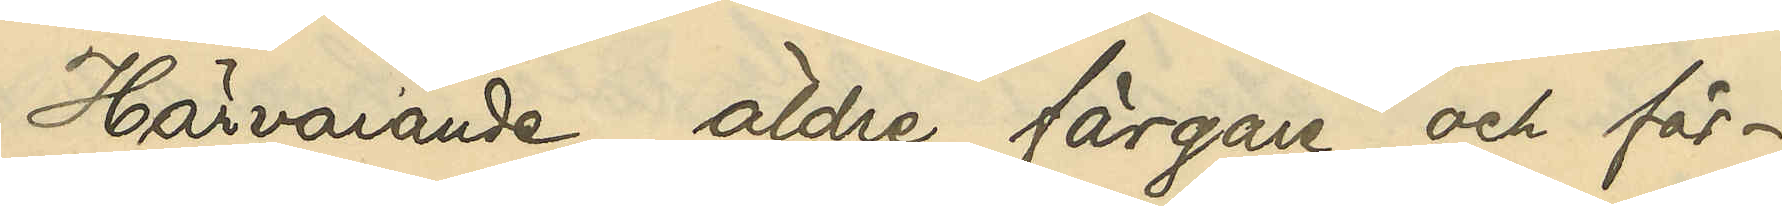Härvarande äldre färgare och fär¬
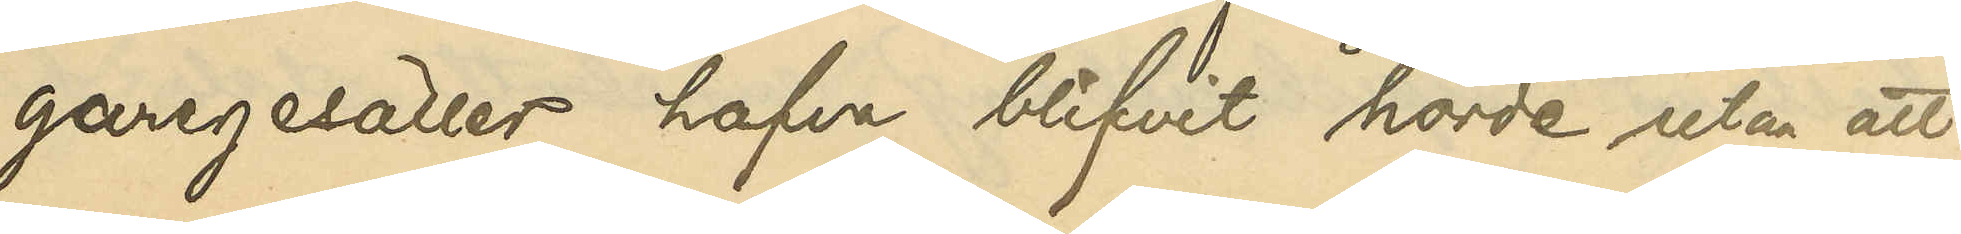garegesäller hafva blifvit hörda utan att
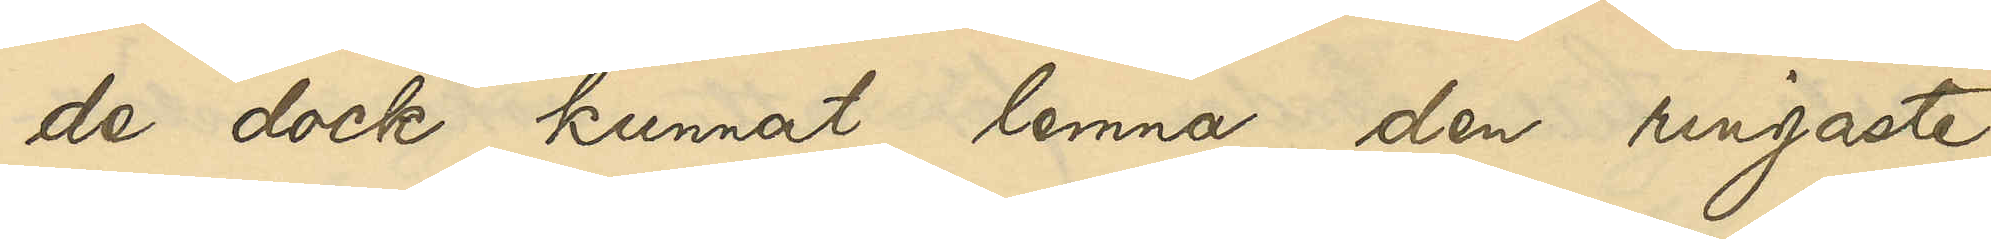de dock kunnat lemna den ringaste
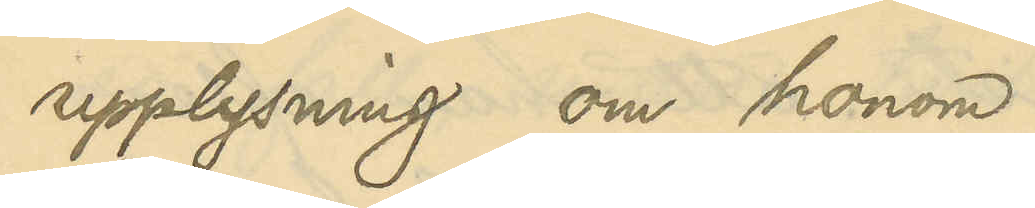upplysning om honom.
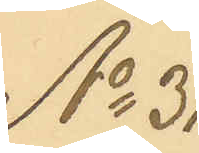No 31
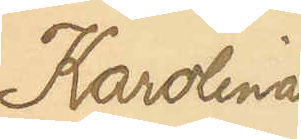Karolina
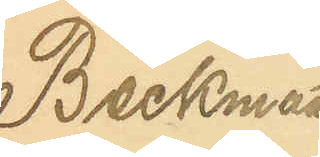Beckman
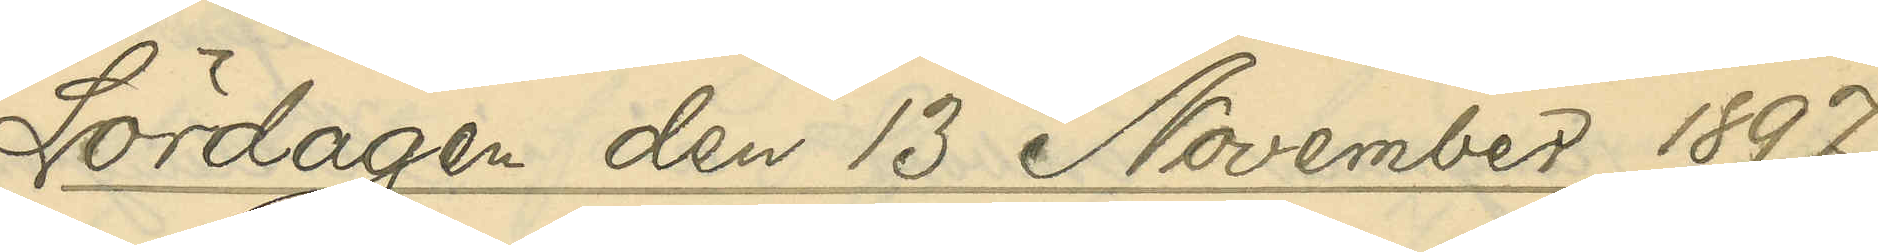Lördagen den 13 November 1897.
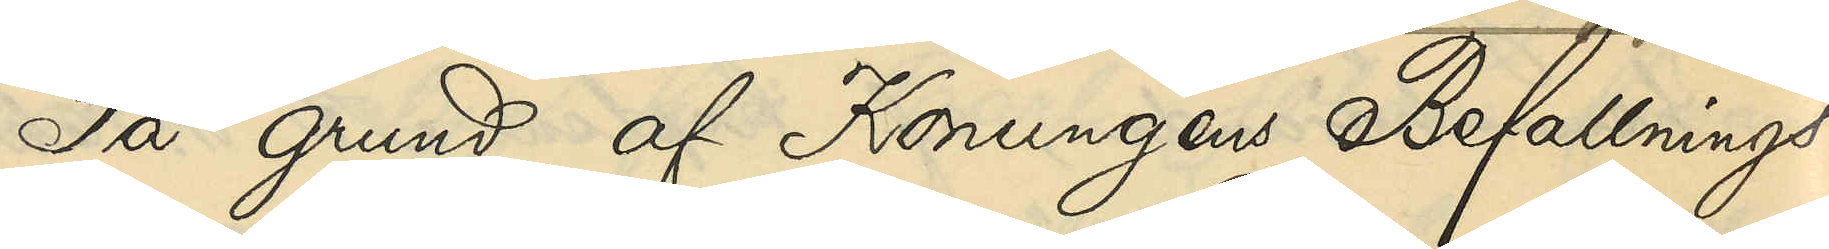På grund af Konungens Befallnings¬
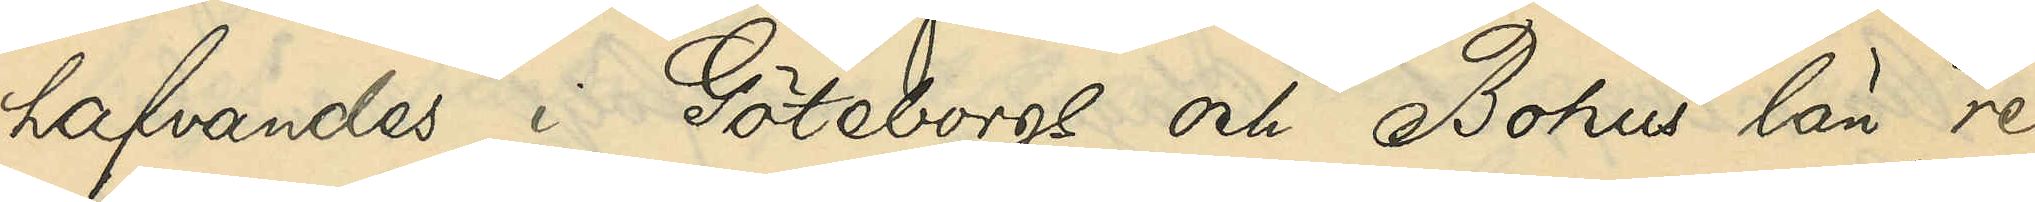hafvandes i Göteborgs och Bohus län re¬
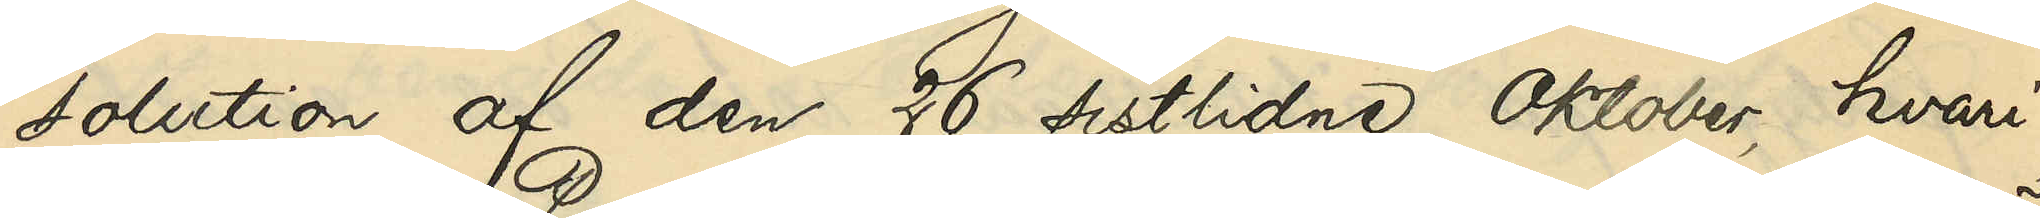solution af den 26 sistlidne Oktober, hvari¬
